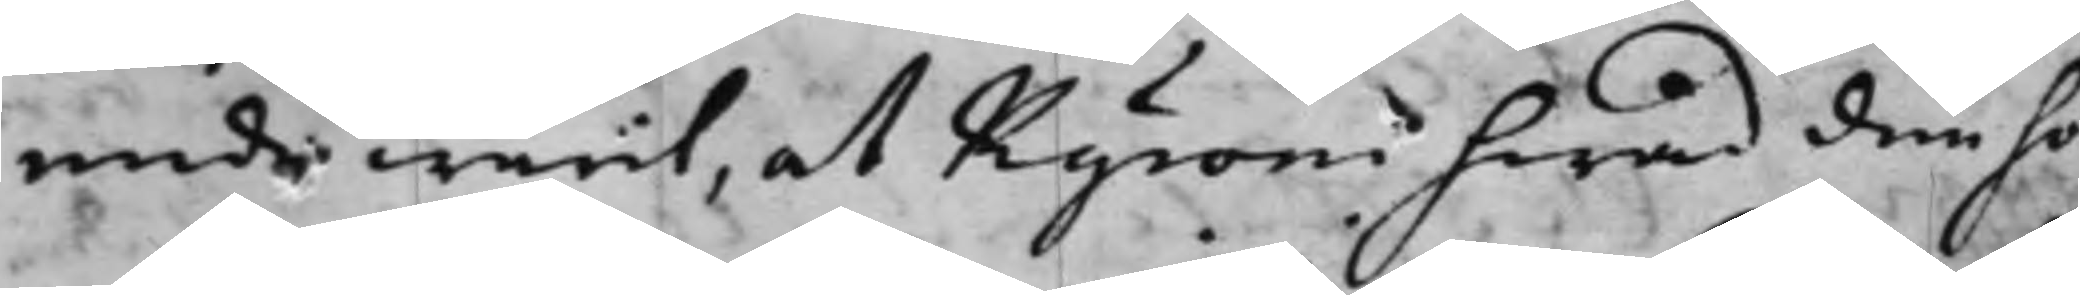ende warit, at Kyroni hwad den ho¬
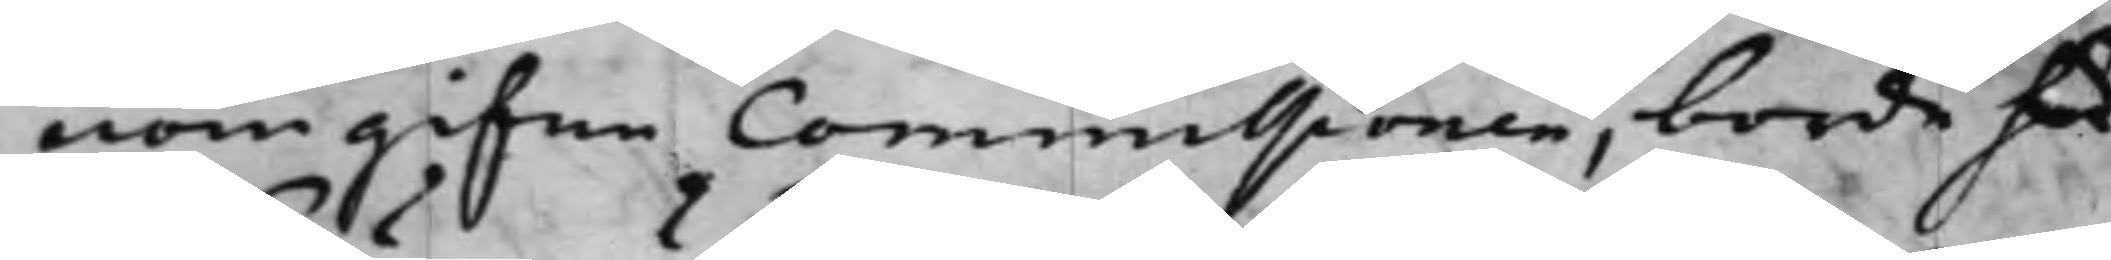nom gifne Commissionen, borde här
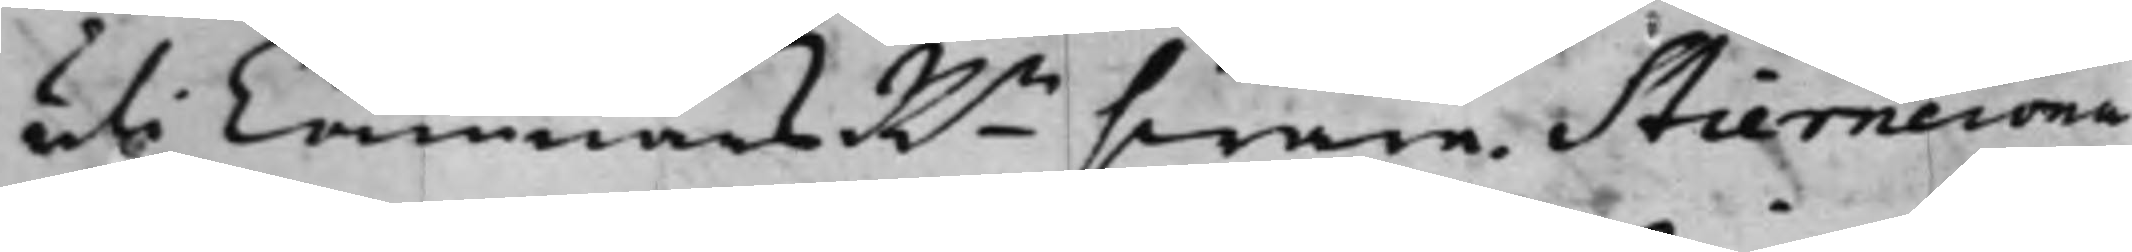uti CämnärsRn swara. Stierncrona
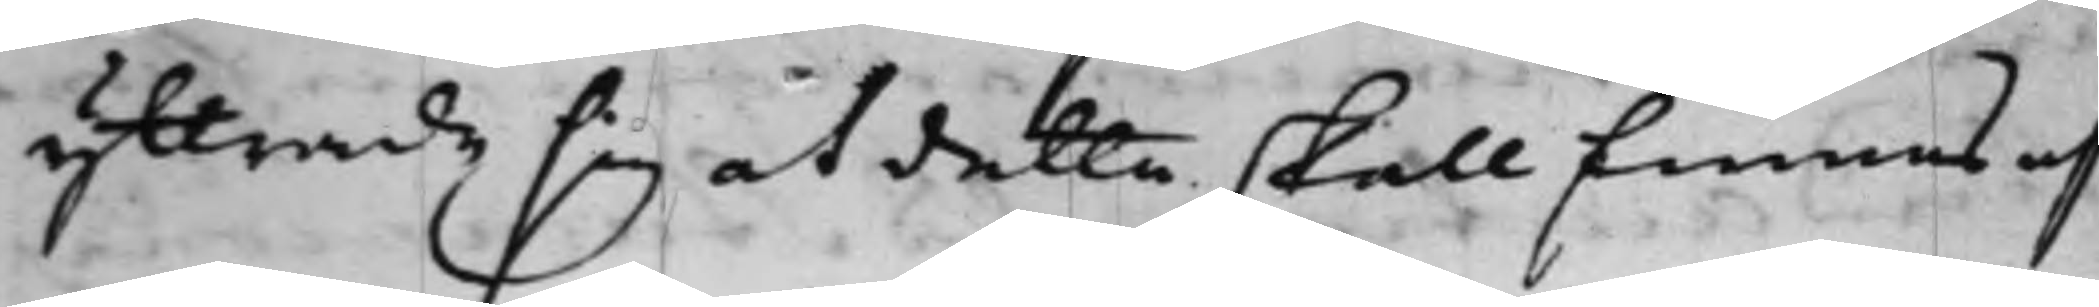yttrade sig at detta skall finnas af
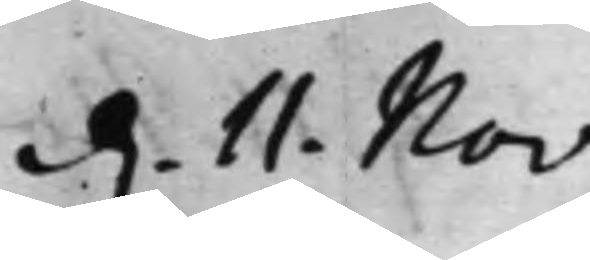d. 11. Nov:
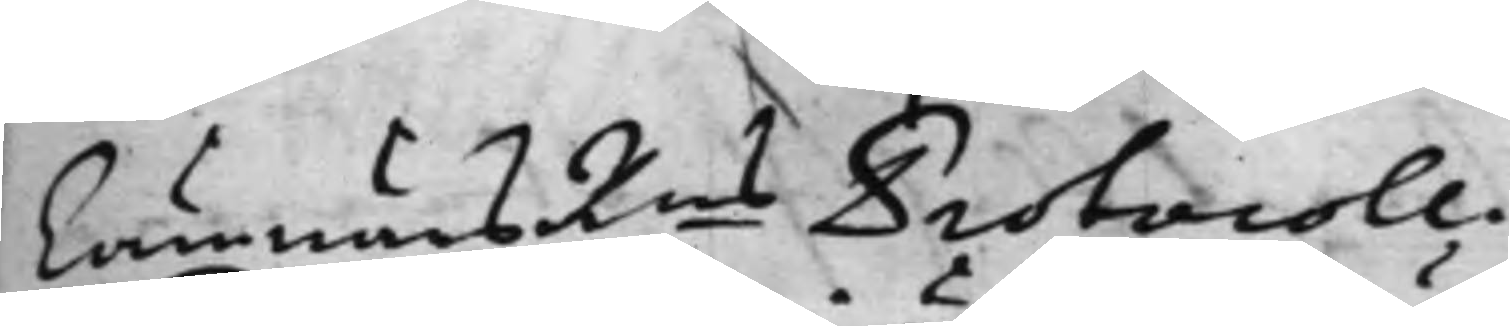CämnärsRns Protocoll.
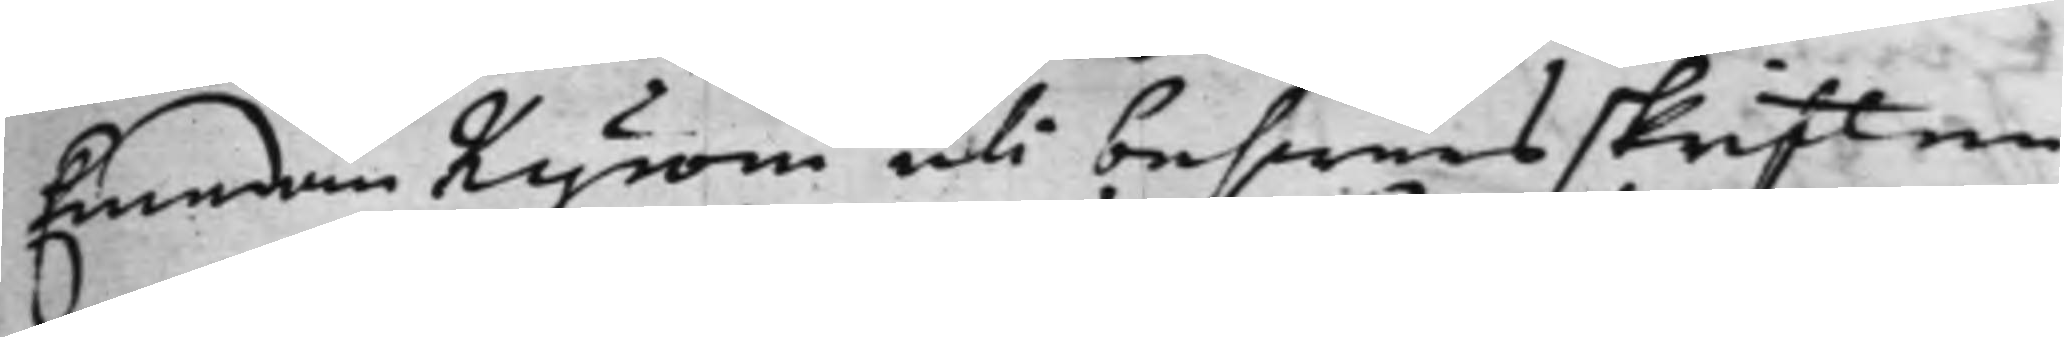Emedan Kyroni uti beswärsskriften
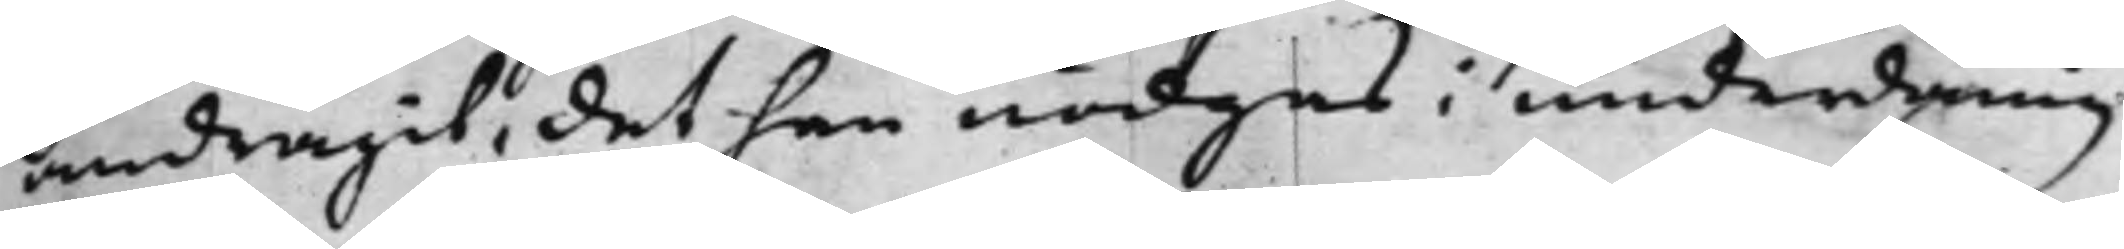andragit, det han nödgas i underdånig¬
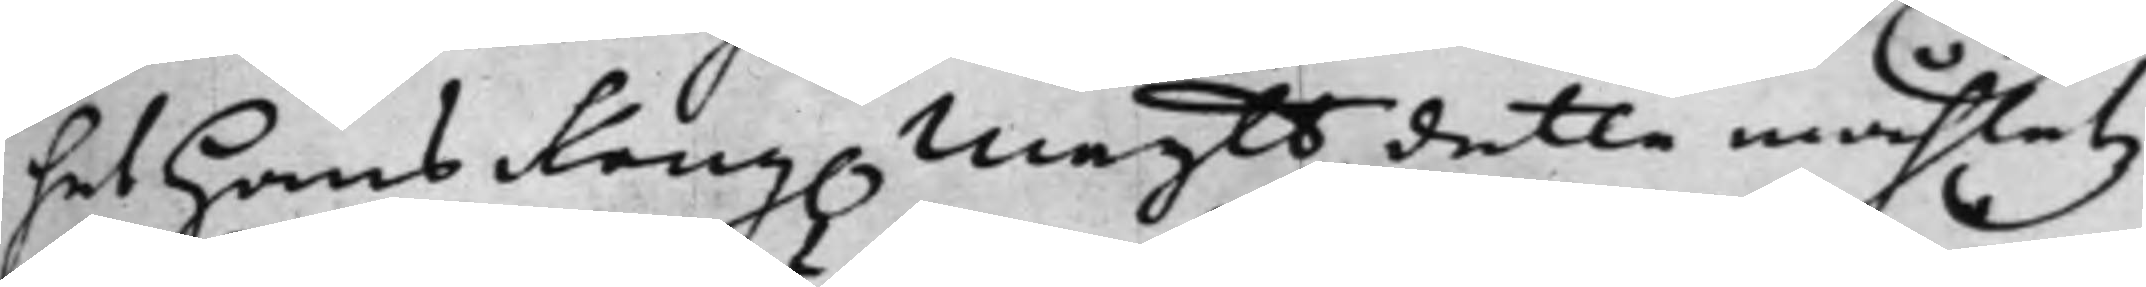het Hans Kong. Maytt detta måhletz
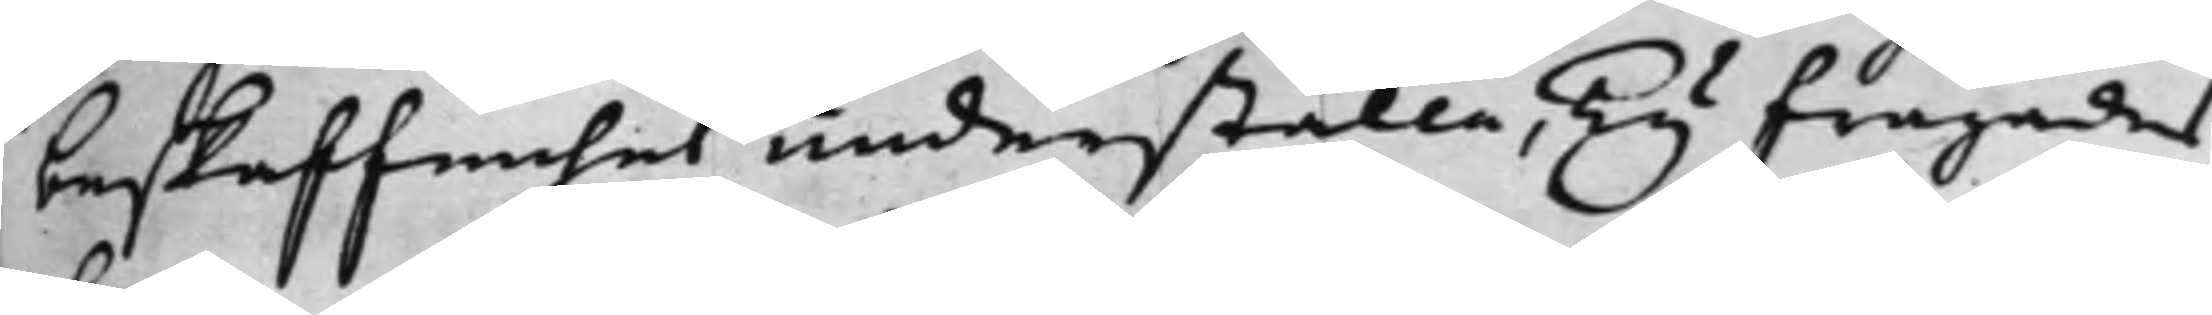beskaffenhet underställa, Ty frågades
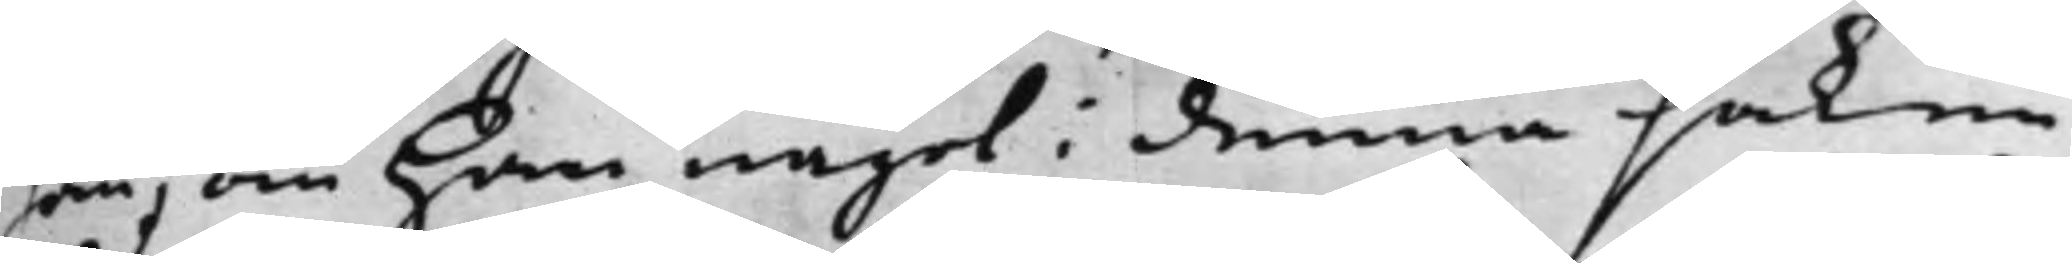han, om Han något i denna saken
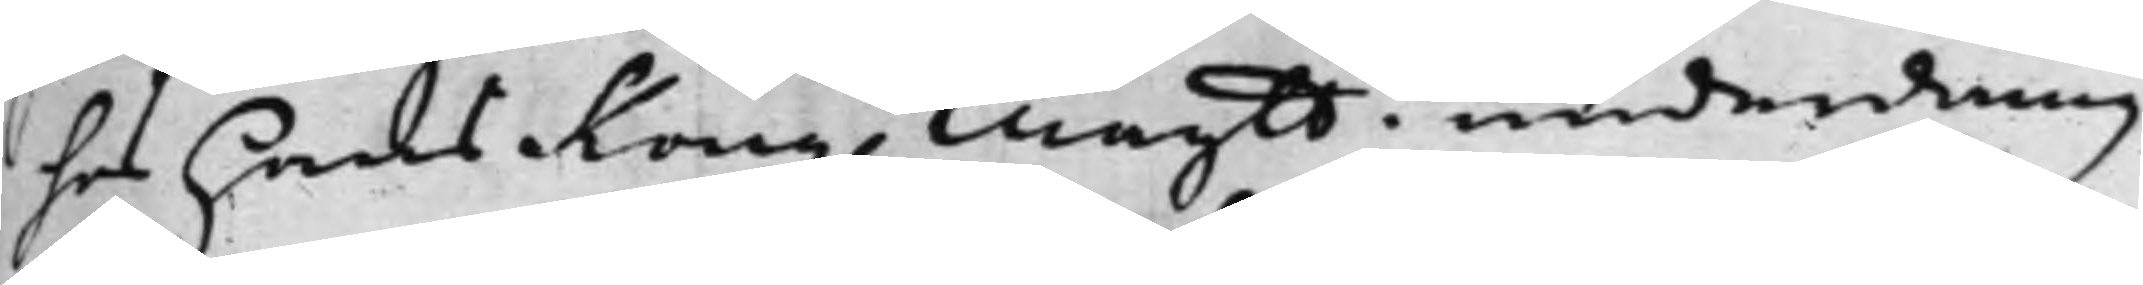hos hans Kong. Maytt i underdånig¬
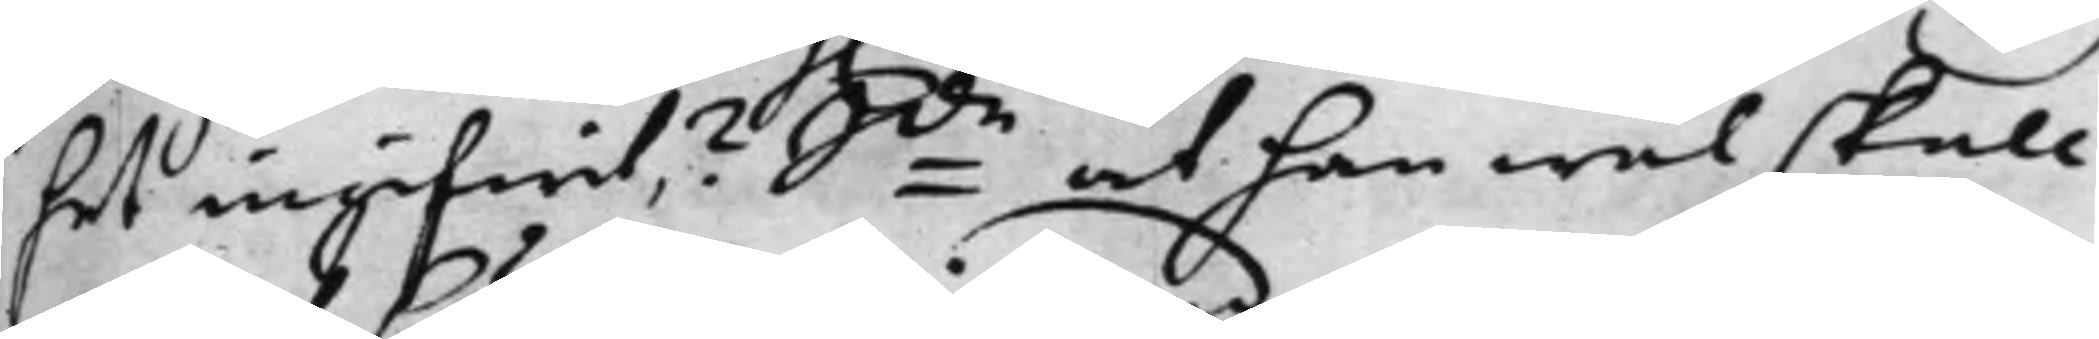het ingifwit? Sde at han wäl skall
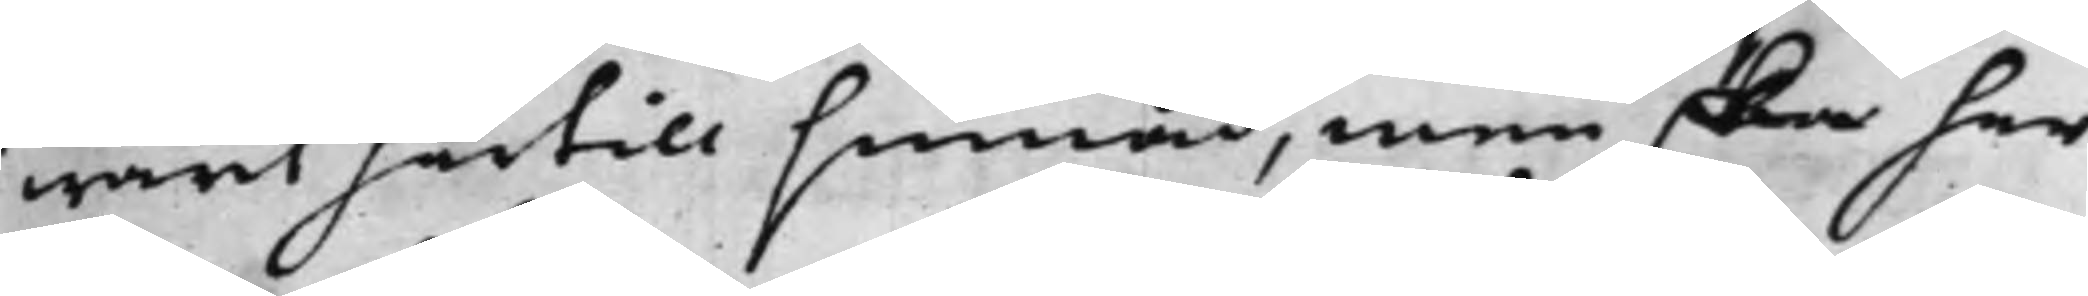warit härtill sinnad, men ska har
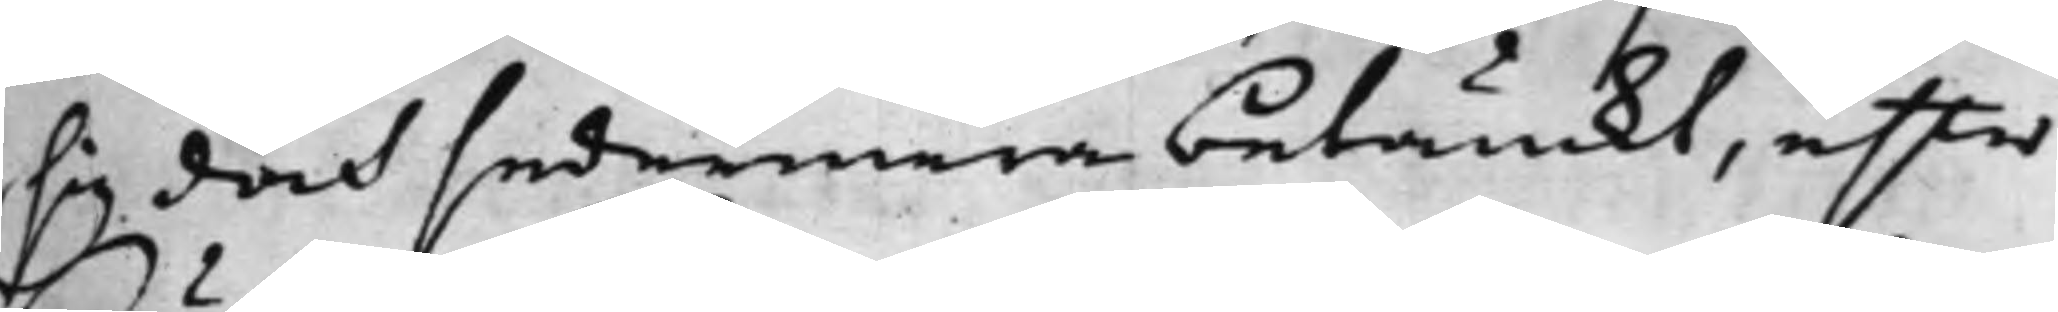sig doch sedermera betänckt, efter
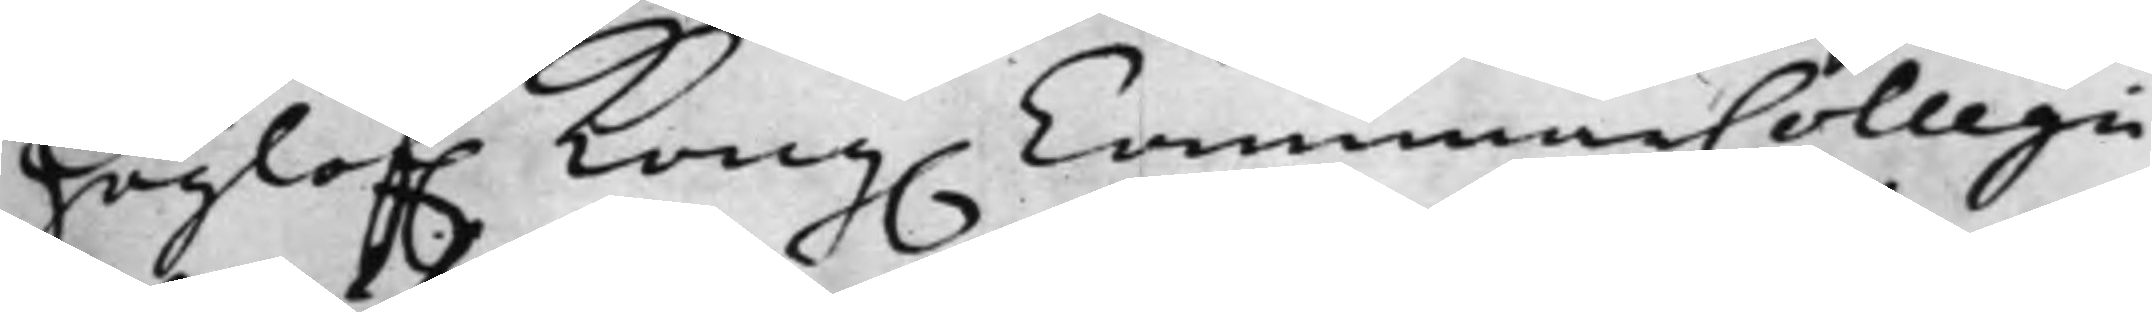Höglof. Kong. CammarCollegii
